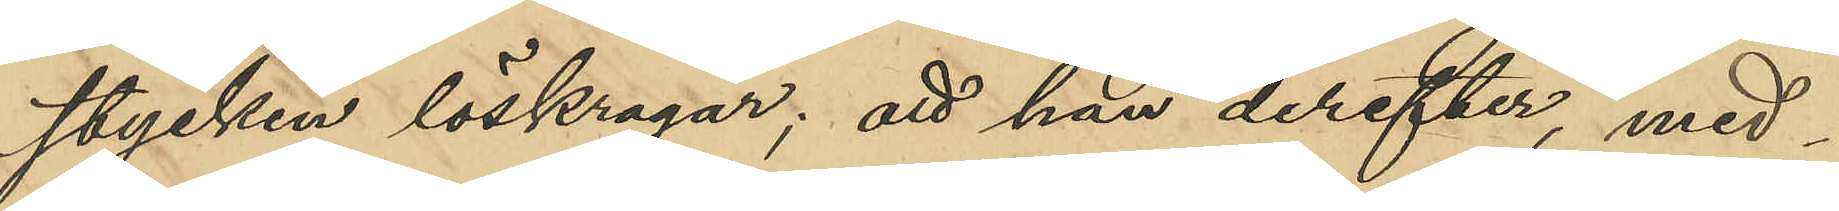stycken löskragar; att han derefter, med¬
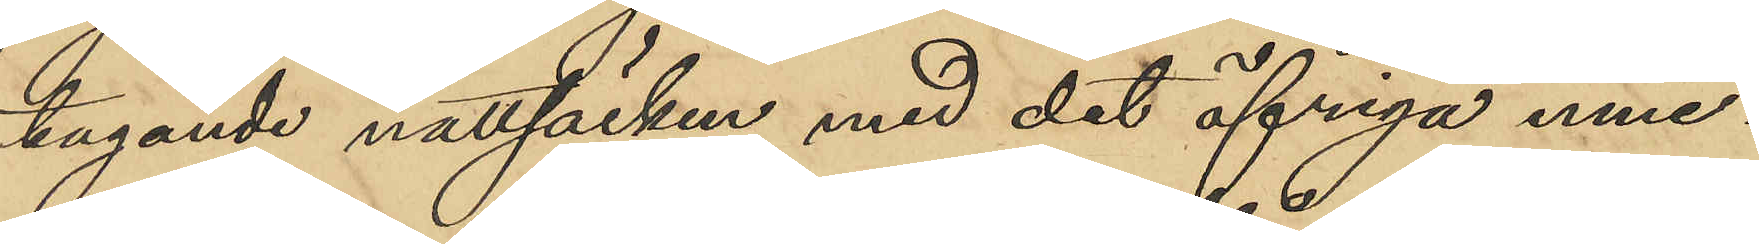tagande nattsäcken med det öfriga inne¬
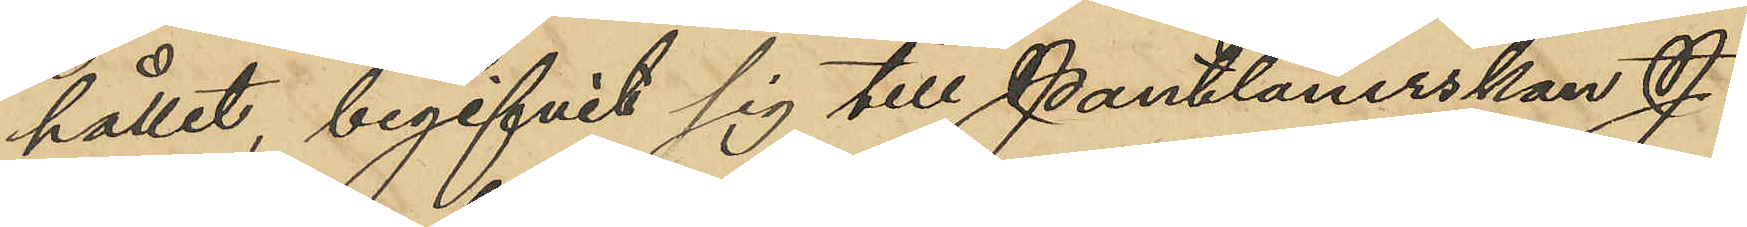hållet, begifvit sig till Pantlånerskan J.
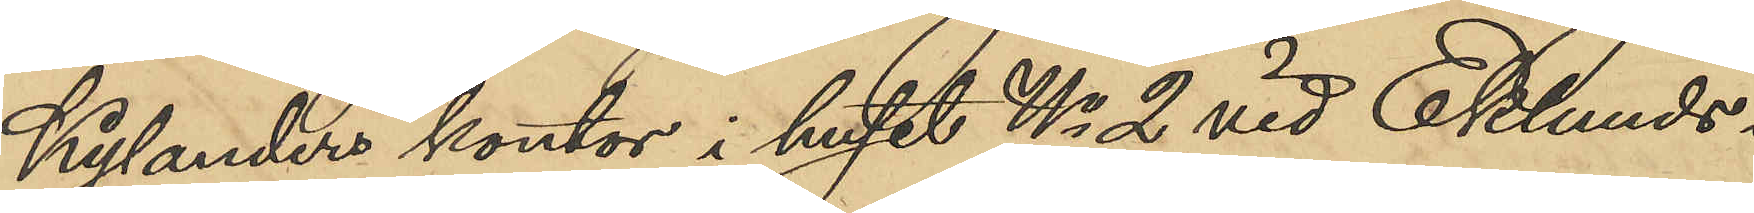Kylanders kontor i huset No 2 vid Eklunds¬
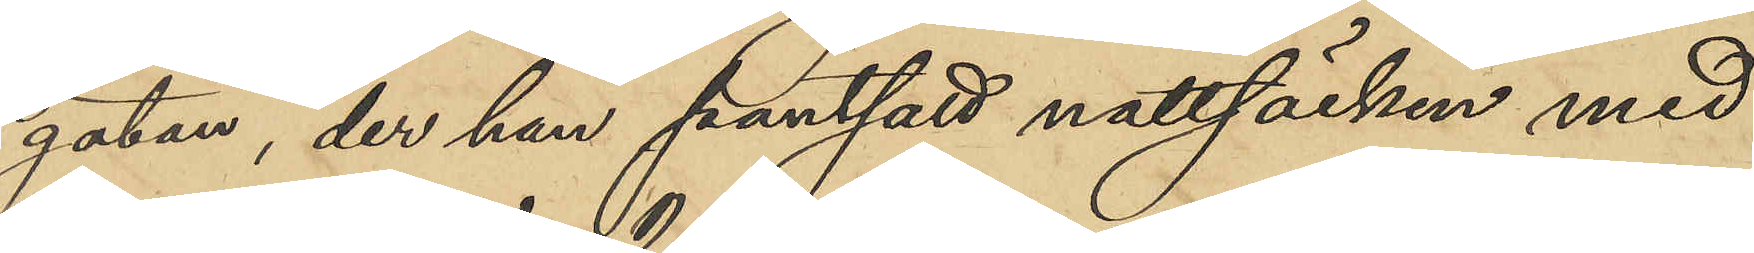gatan, der han pantsatt nattsäcken med
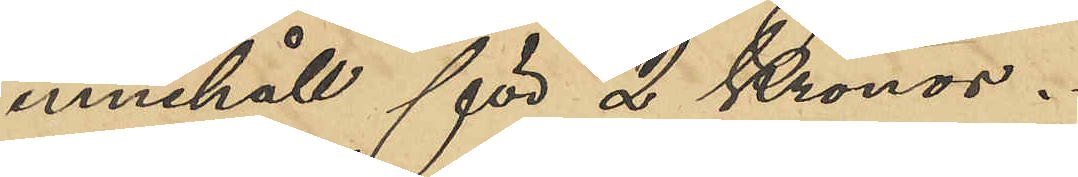innehåll för 2 Kronor.
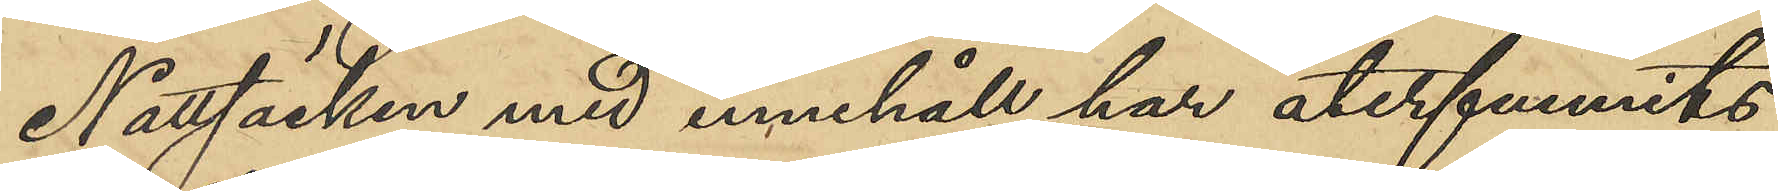Nattsäcken med innehåll har återfunnits
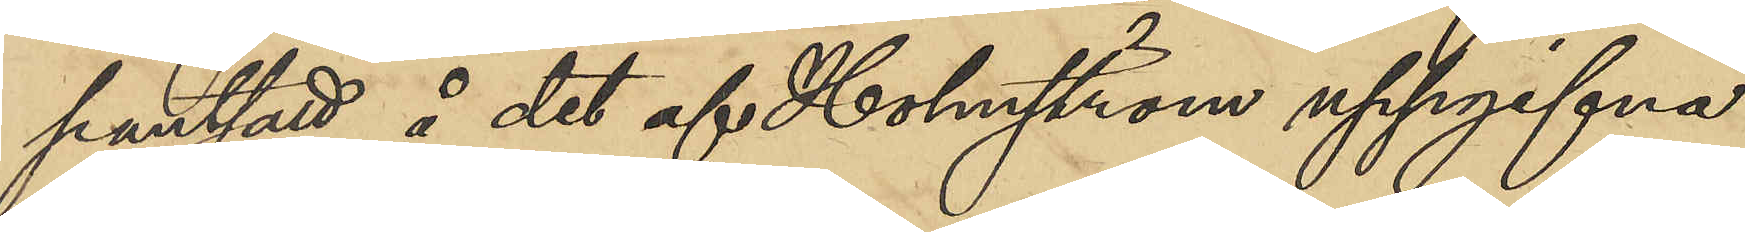pantsatt å det af Holmström uppgifna
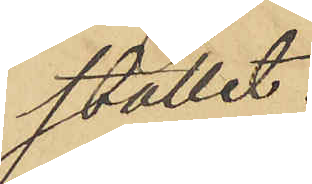stället.
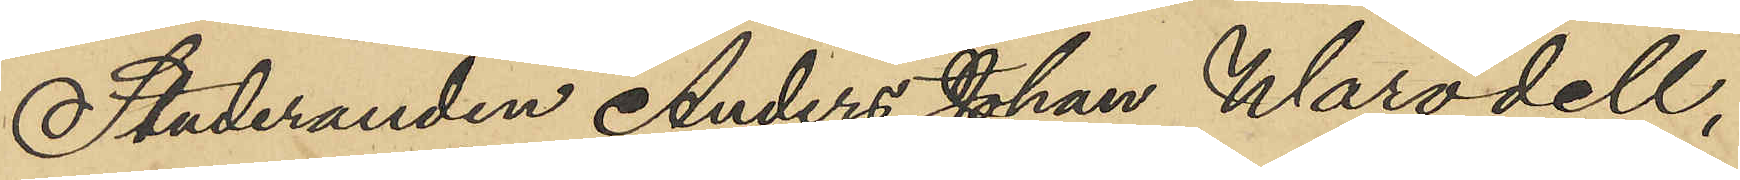Studeranden Anders Johan Warodell,
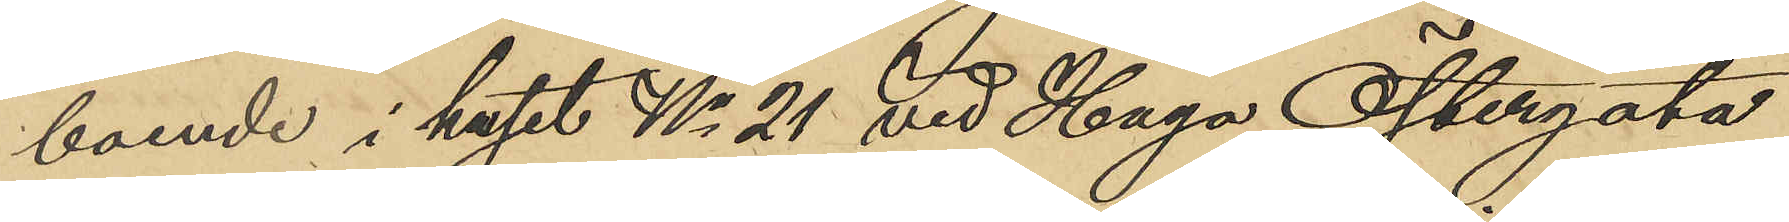boende i huset No 21 vid Haga Östergata
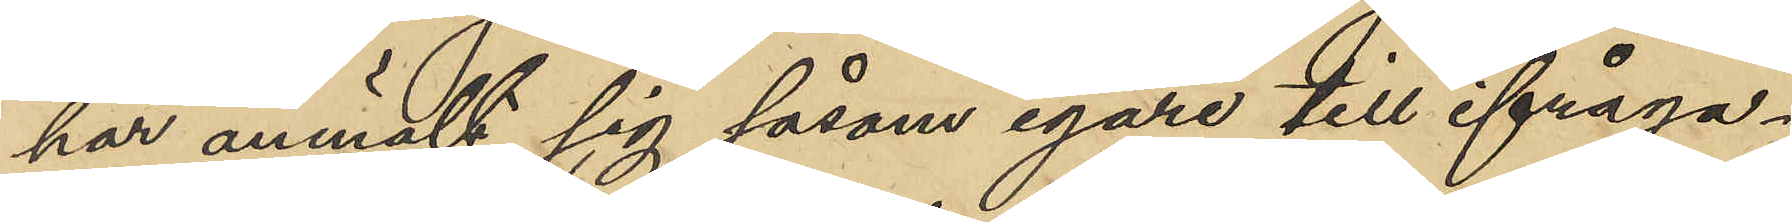har anmält sig såsom egare till ifråga¬
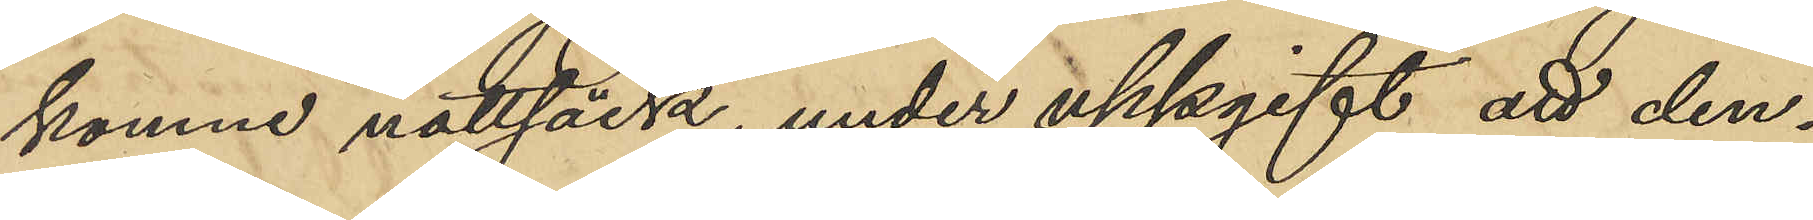komme nattsäck, under uppgift att den¬
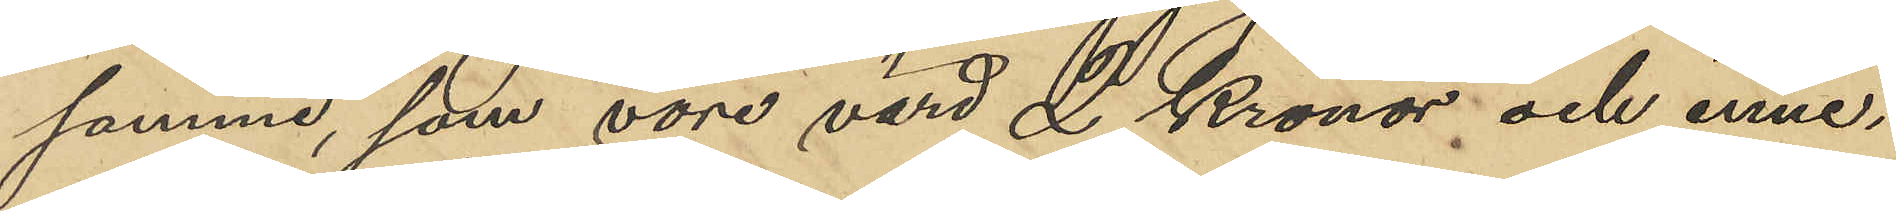samma, som vore värd 2 Kronor och inne¬
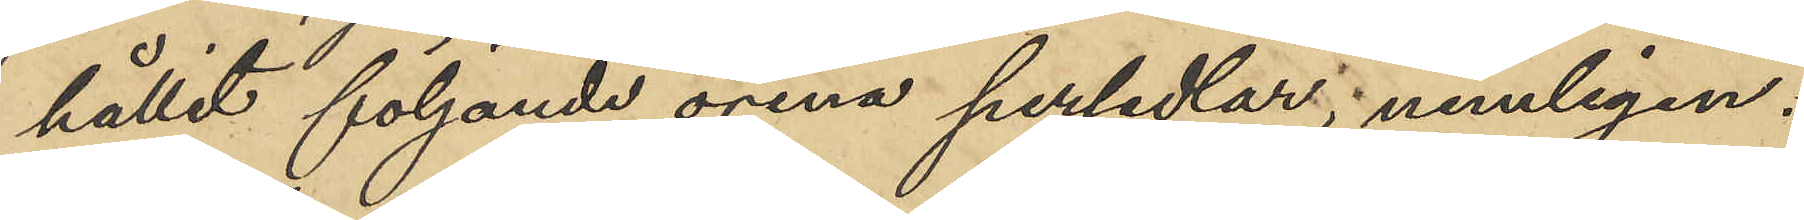hållit följande orena persedlar; nemligen:
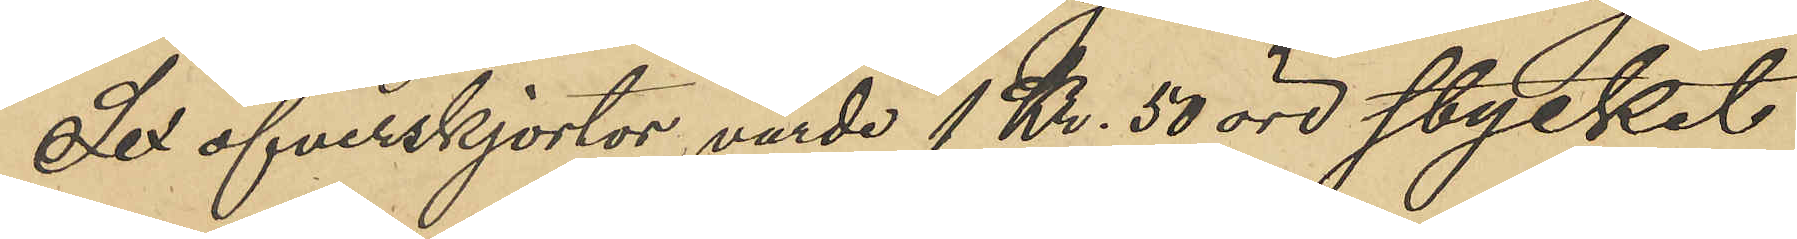Sex öfverskjortor, värde 1 Kr. 50 öre stycket
